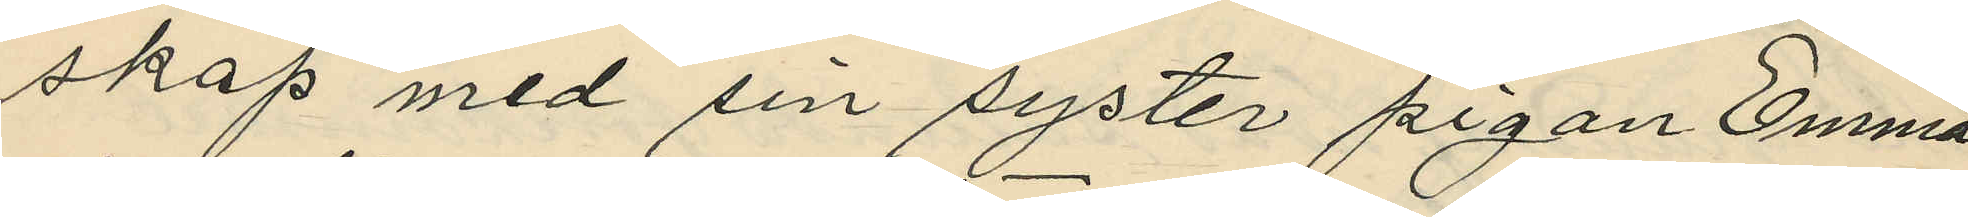skap med sin syster pigan Emma
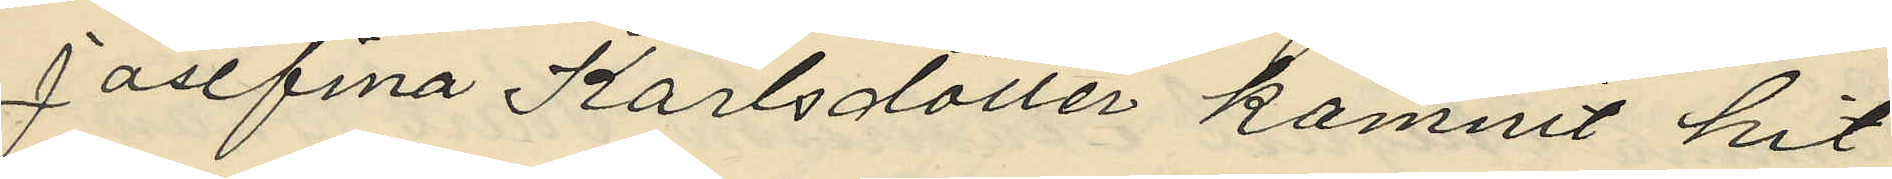Josefina Karlsdotter komnit hit
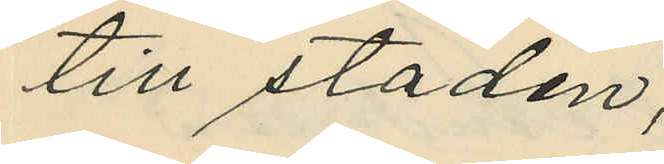till staden;
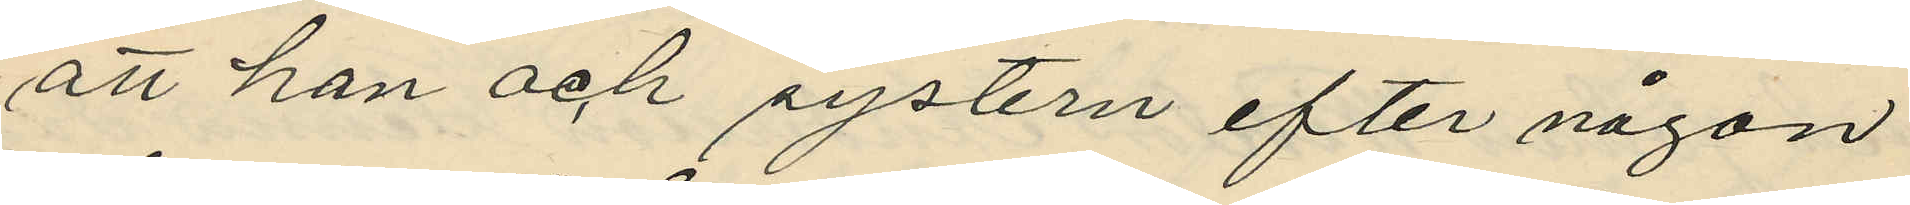att han och systern efter någon
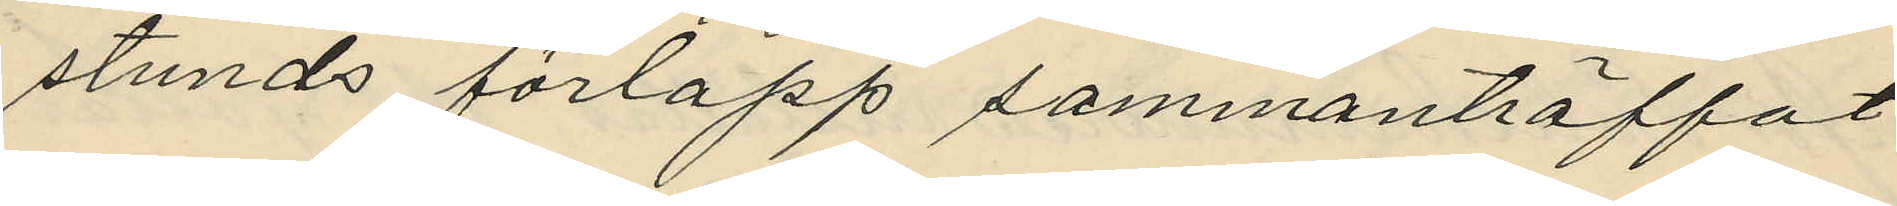stunds förlopp sammanträffat
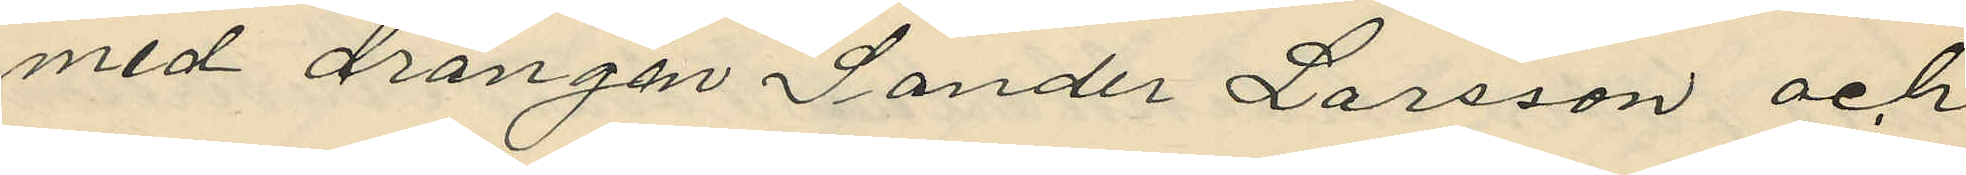med drängen Sander Larsson och
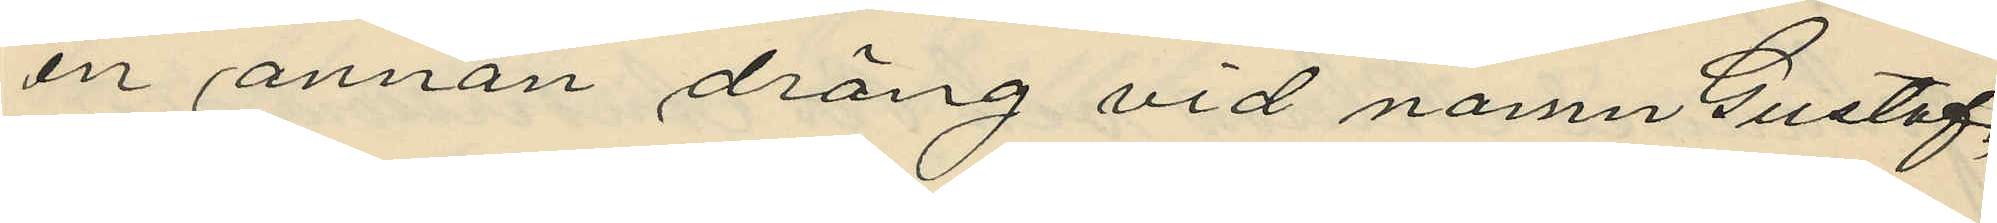en annan dräng vid namn Gustaf,
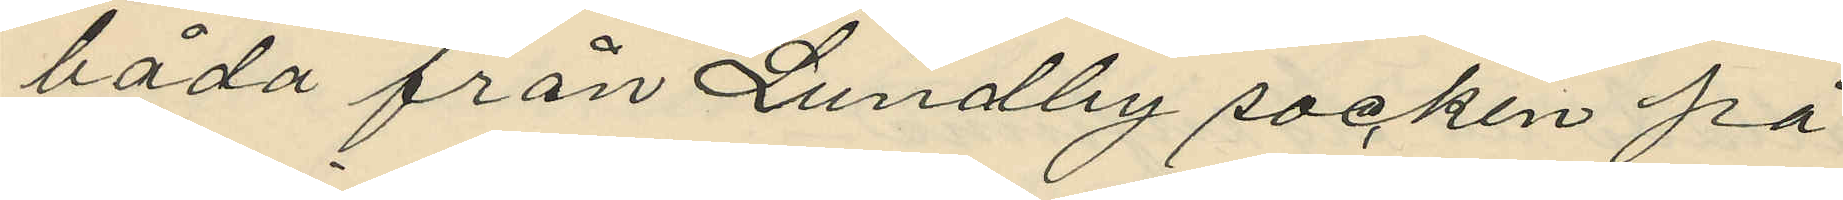båda från Lundby socken på
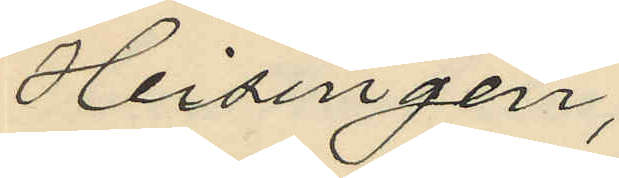Heisingen;
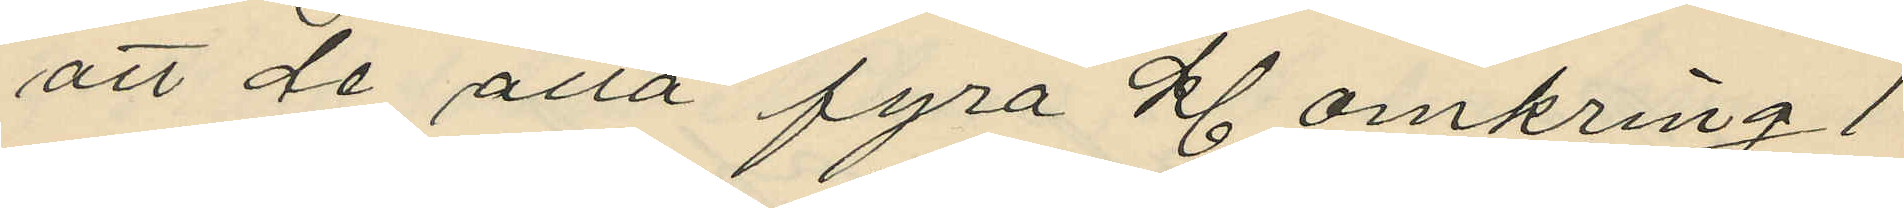att de alla fyra kl. omkring 1
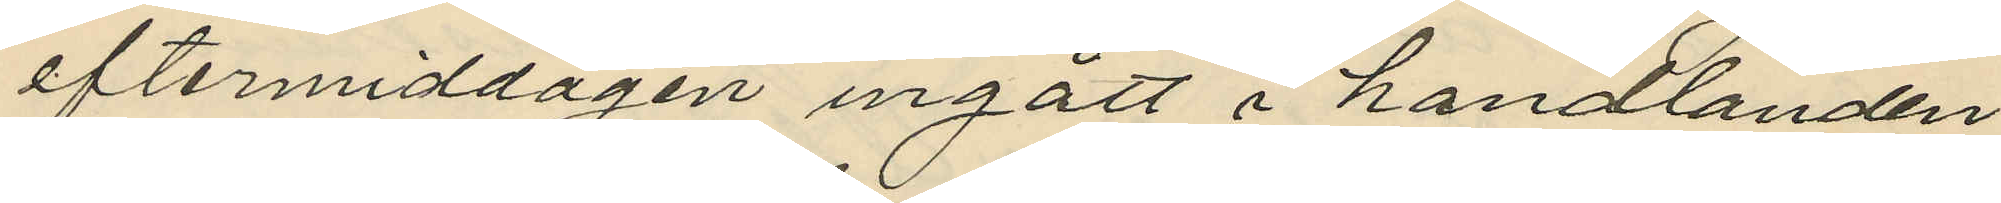eftermiddagen ingått i handlanden
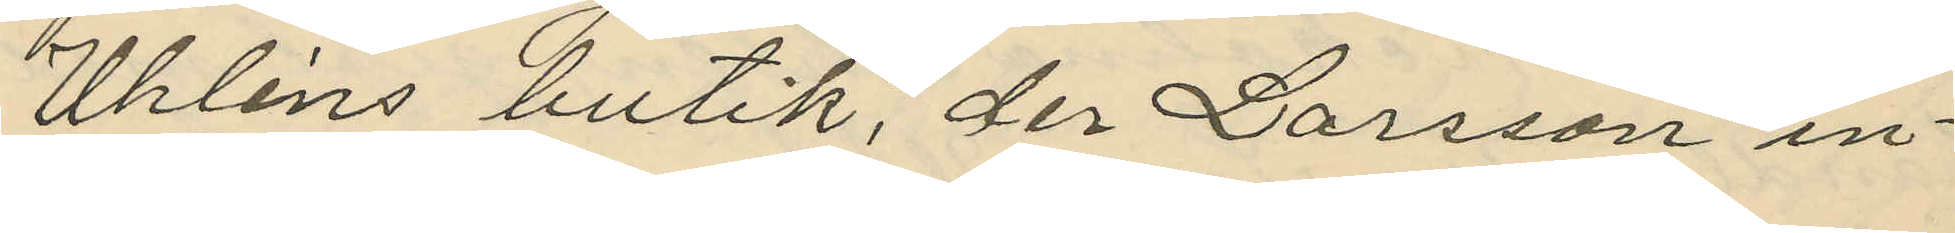Uhléns butik, der Larsson in¬
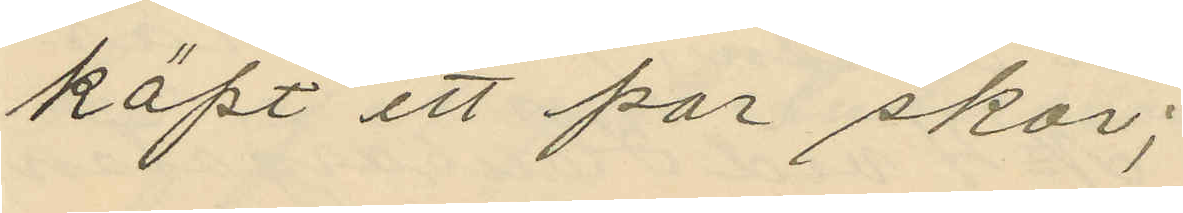köpt ett par skor;
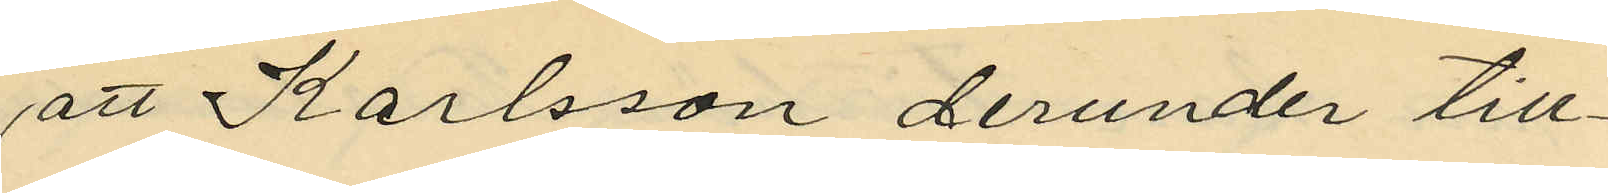att Karlsson derunder till¬
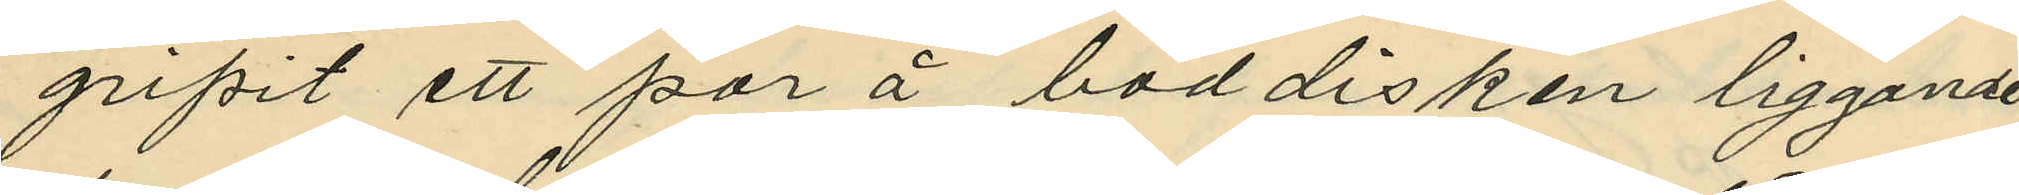gripit ett par å boddisken liggande
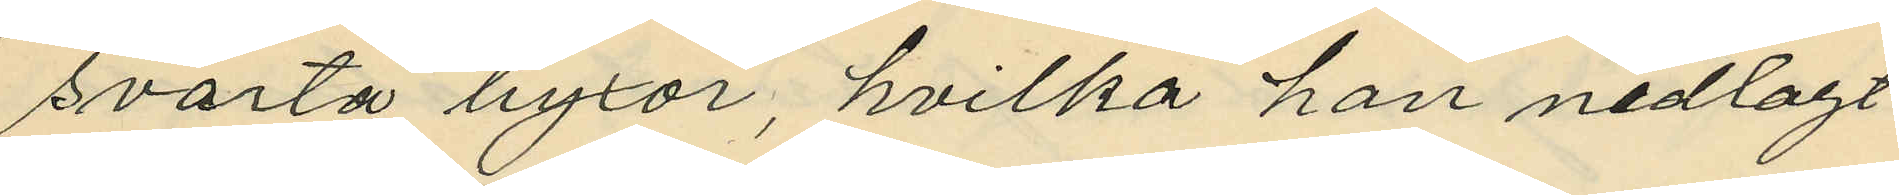svarta byxor, hvilka han nedlagt
